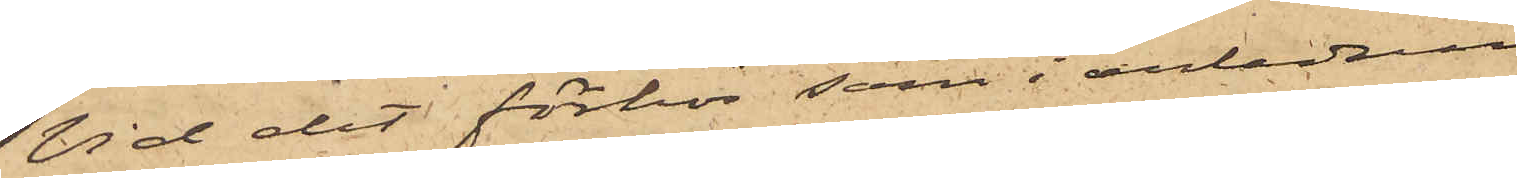Vid det förhör, som i anledning
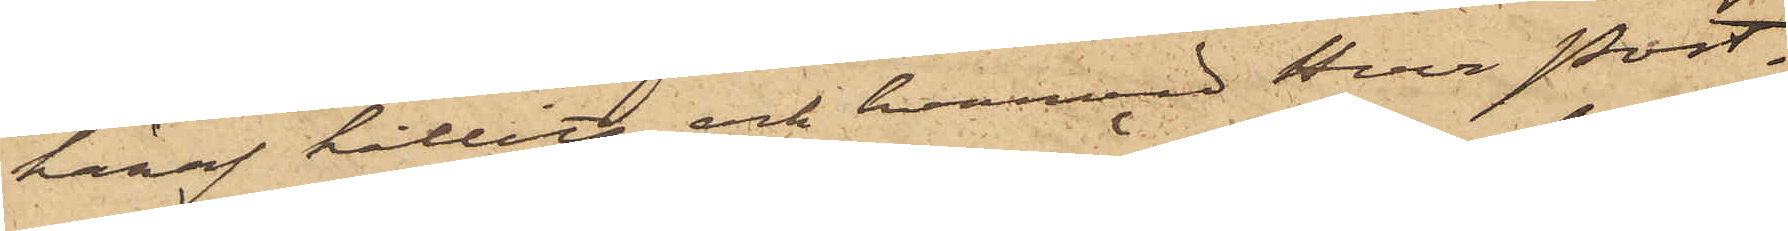häraf hållits och hvarvid Herr Post¬
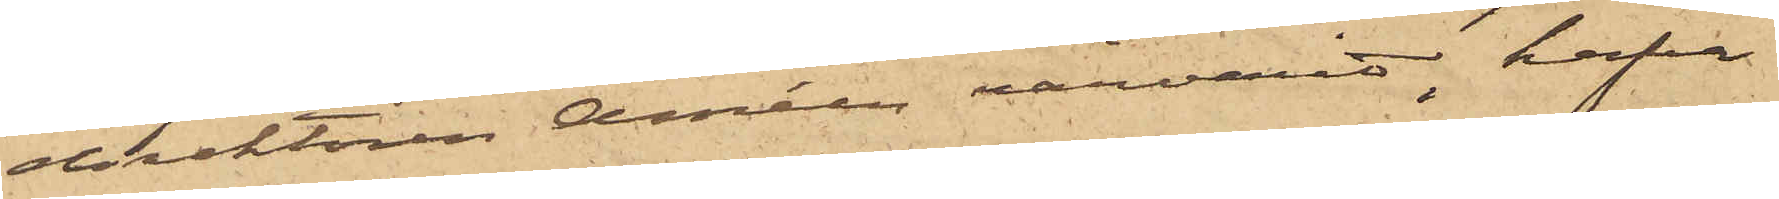direktören Améen närvarit, hafva
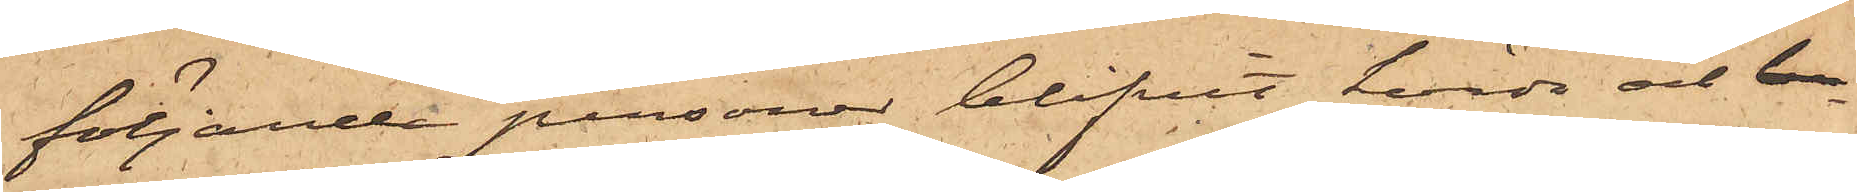följande personer blifvit hörda och b
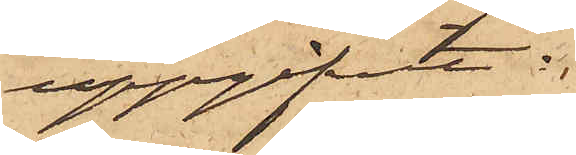uppgifvit:
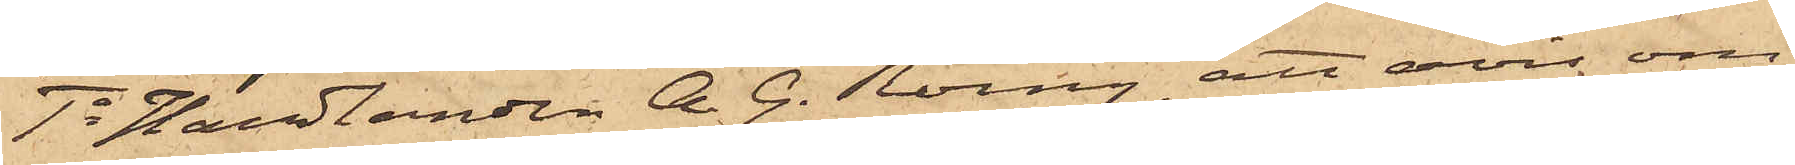1o Handlanden A. G. Röing, att avin om
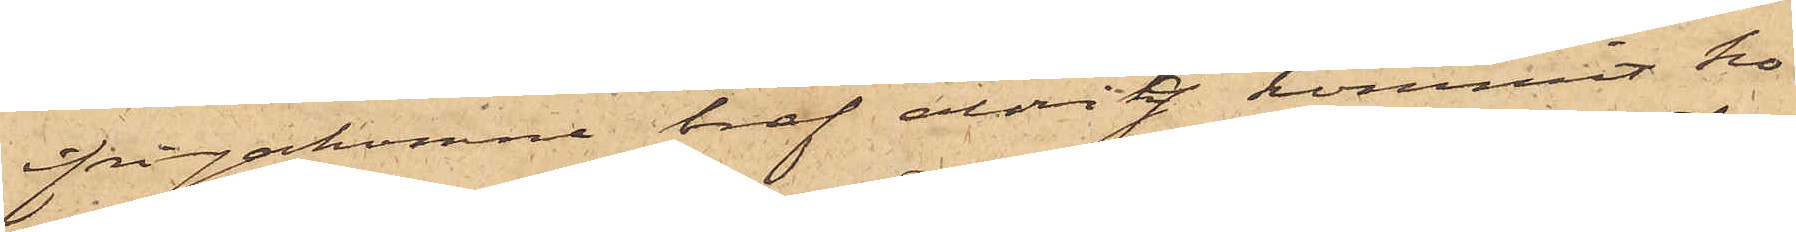frågakomne bref aldrig kommit ho¬
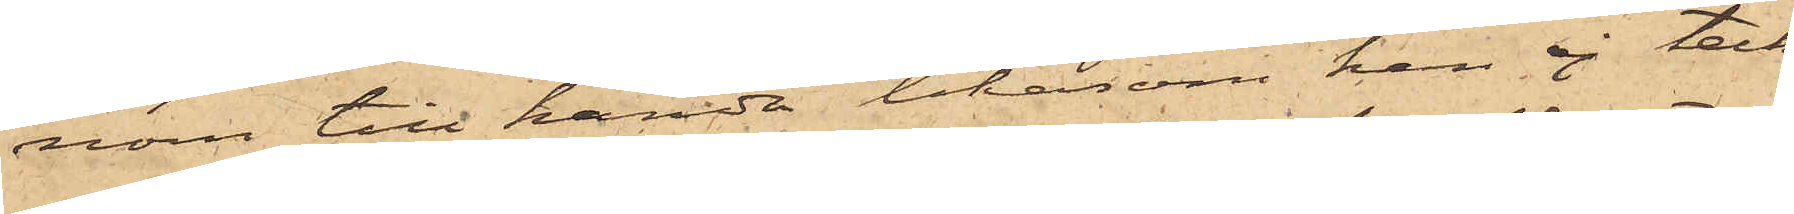nom till handa likasom han ej teck¬
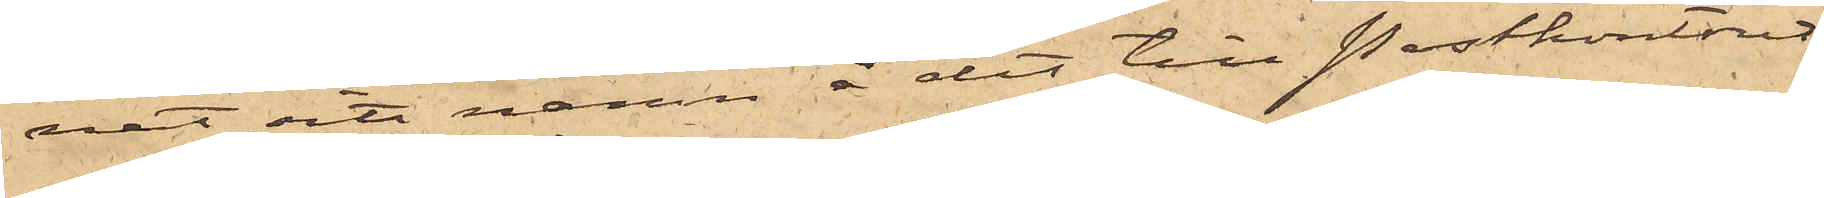nat sitt namn å det till Postkontoret
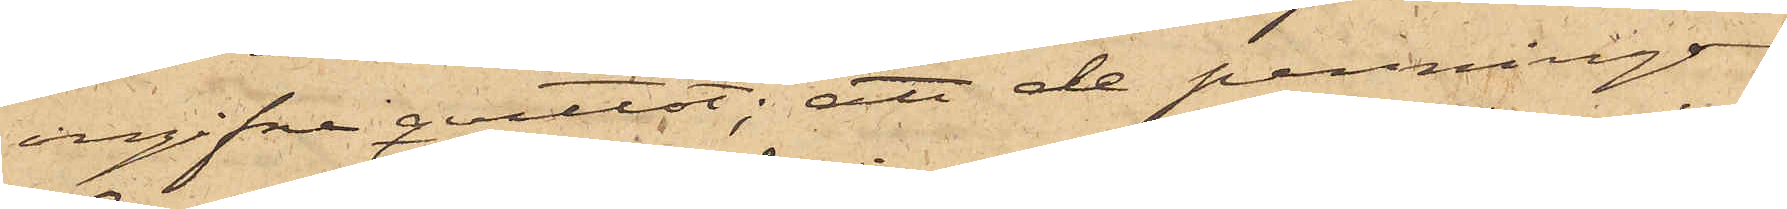ingifne qvittot; att de penningar
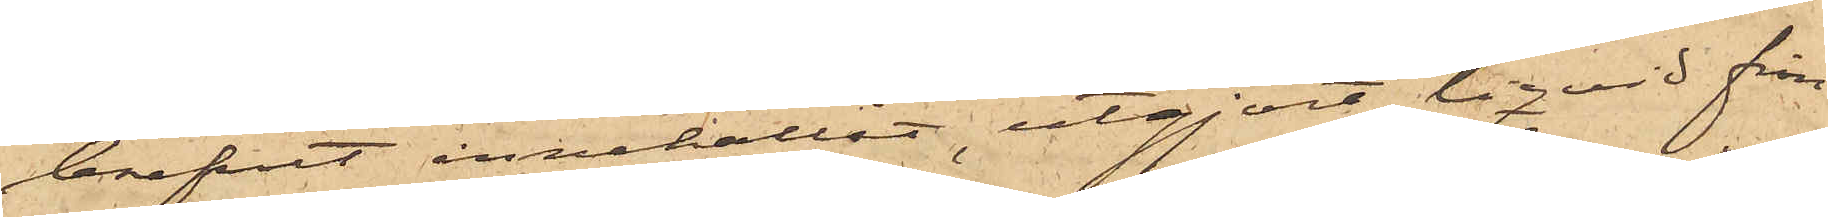brefvet innehållit, utgjort liqvid från
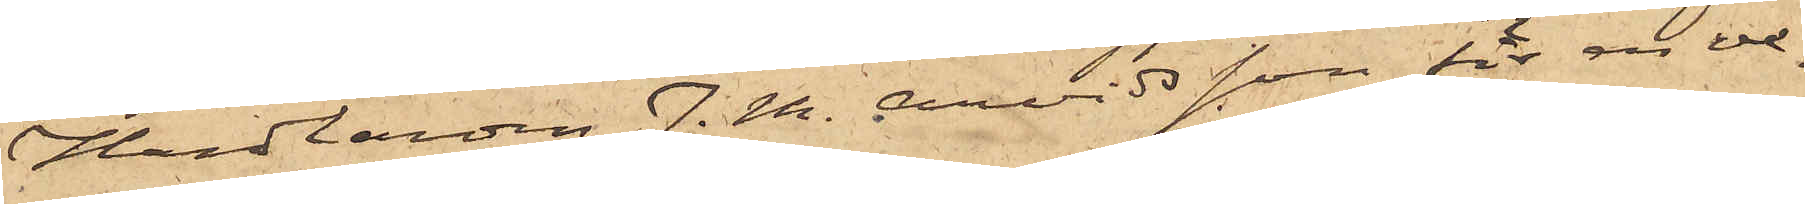Handlanden J. M. Arvidsson för en ve¬
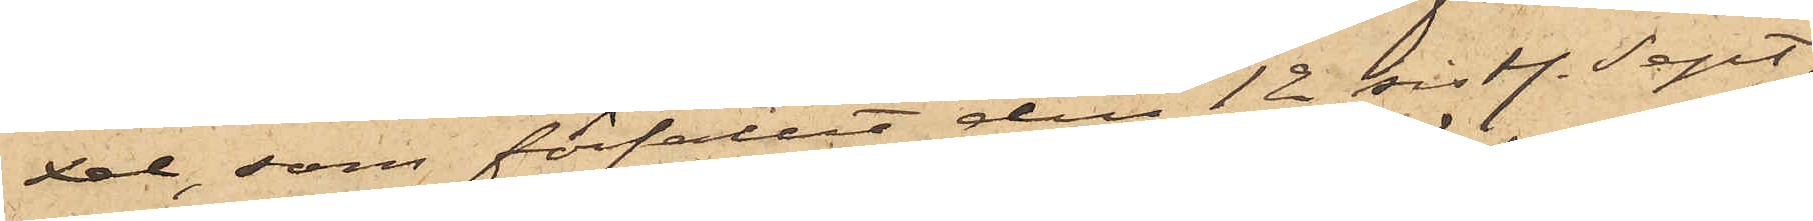xel, som förfallit den 12 sist. Sept;
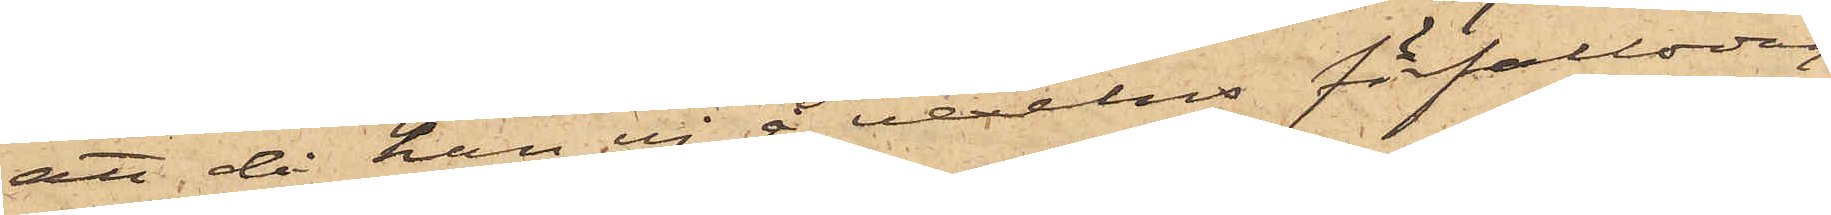att då han ej å vexelns förfallodag
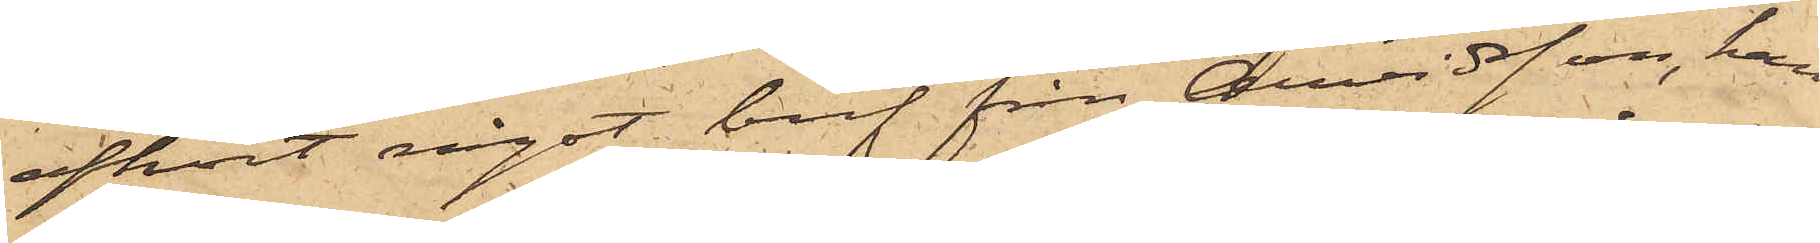afhört något bref från Arvidsson, han
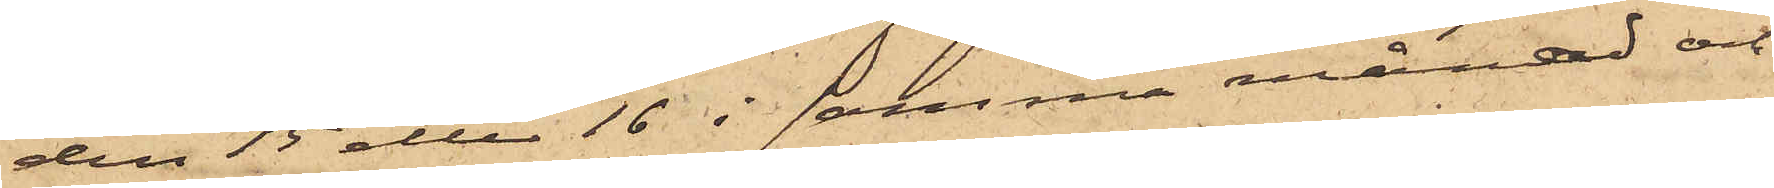den 15 eller 16 i samma månad och
